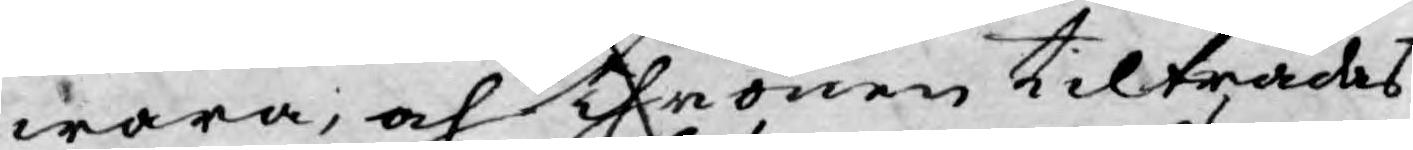wara, och Thronen tilträdas
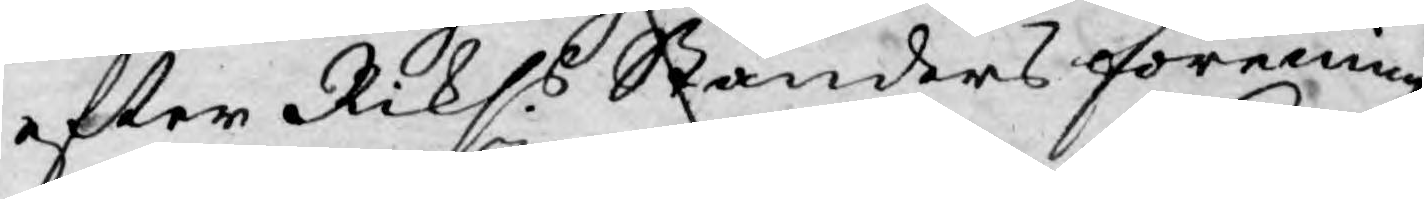efter Rikss Ständers förening
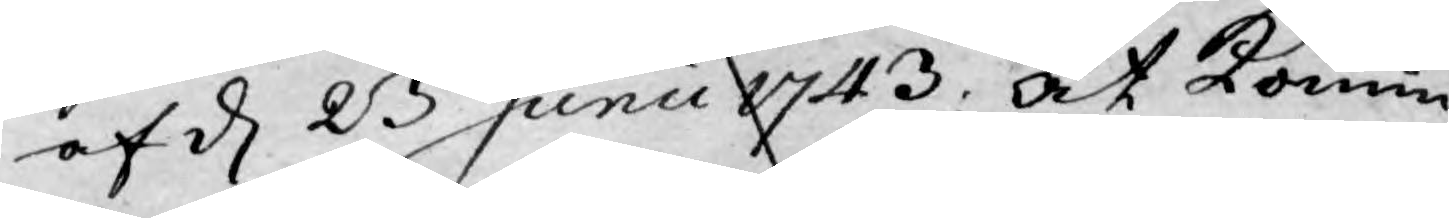af d 23 Junii 1743. at Konun¬
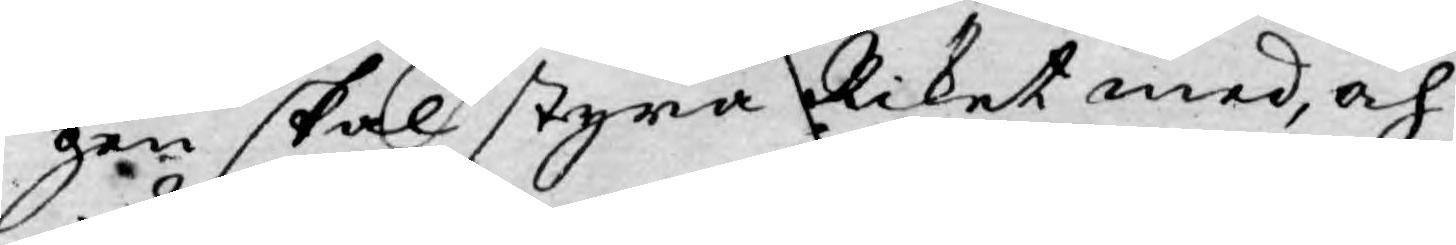gen skal styra Riket med, och
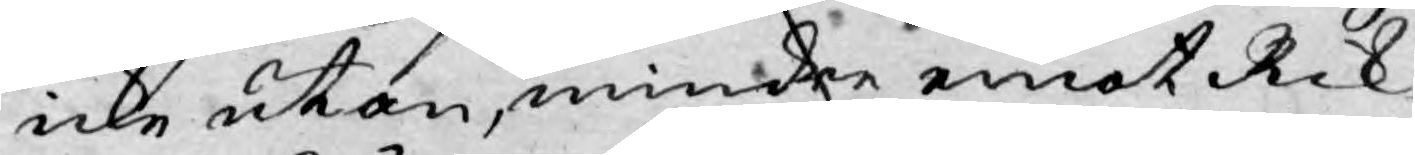icke utan, mindre emot Rik¬
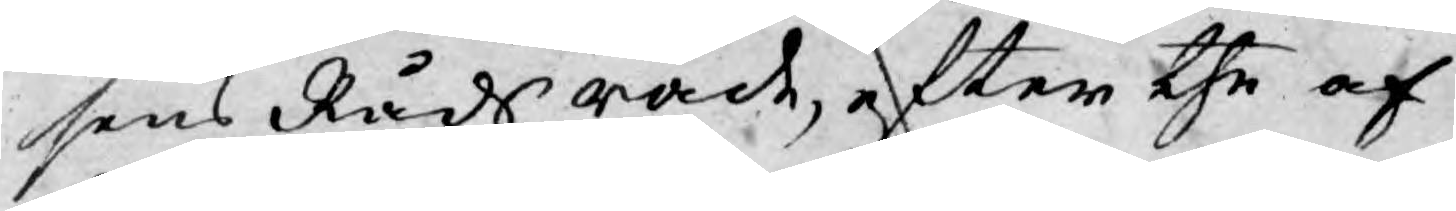sens Råds råd, efter the af
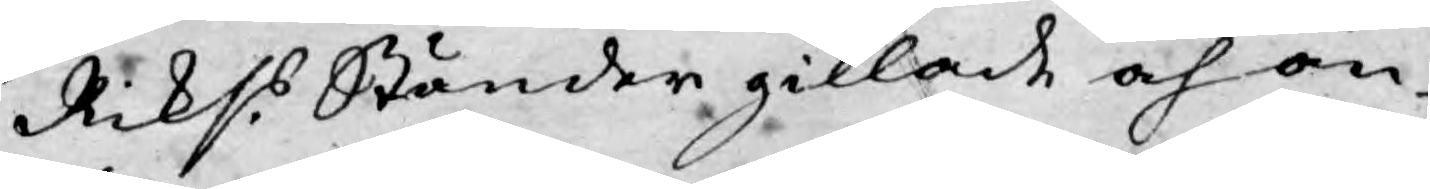Rikss Ständer gillade och an¬
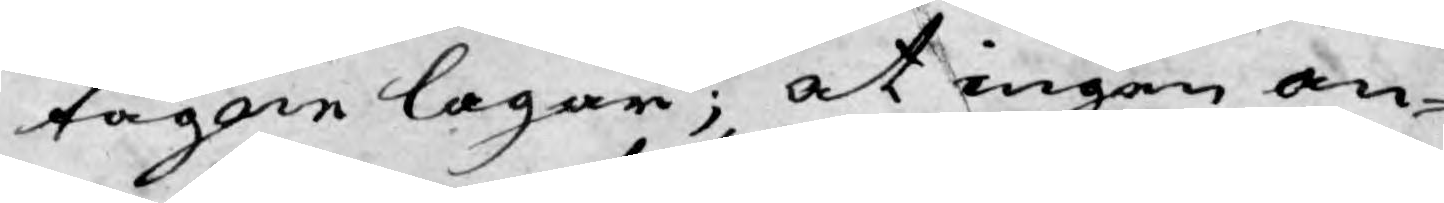tagne lagar; at ingen an¬
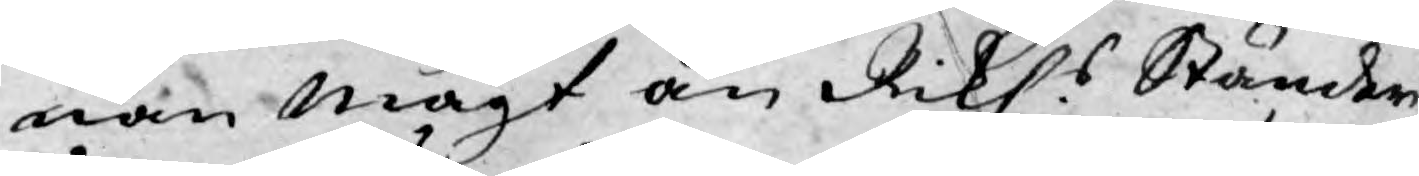nan magt än Rikss Ständer
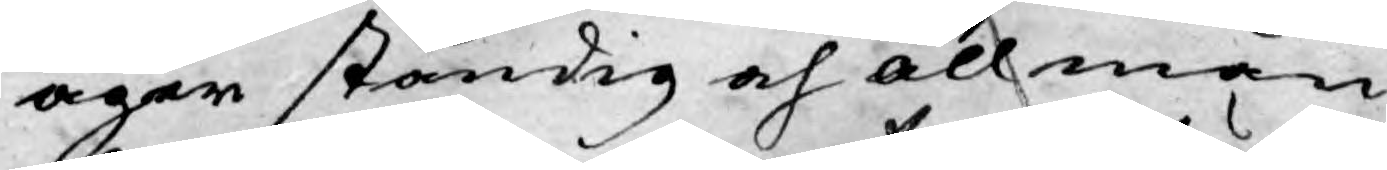äger ständig och allmän
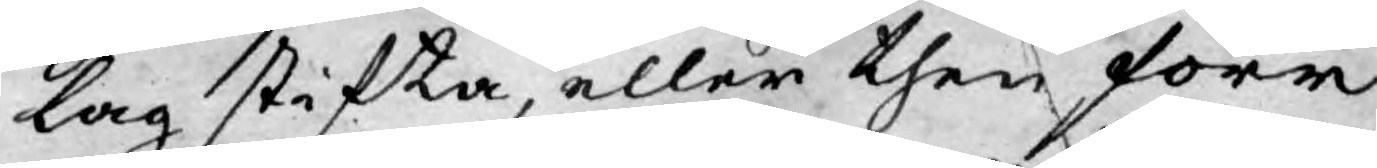lag stifta, eller then förr
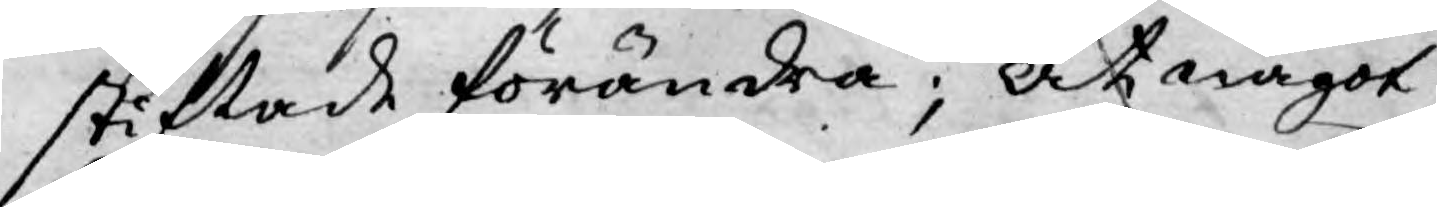stiftade förändra; At något
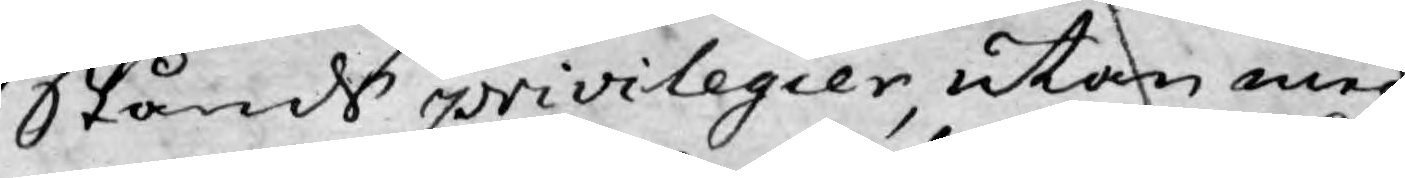Stånds privilegier, utan med
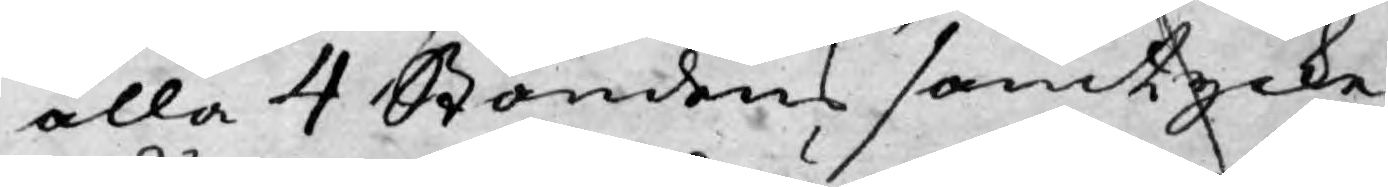alla 4 Ståndens samtycke
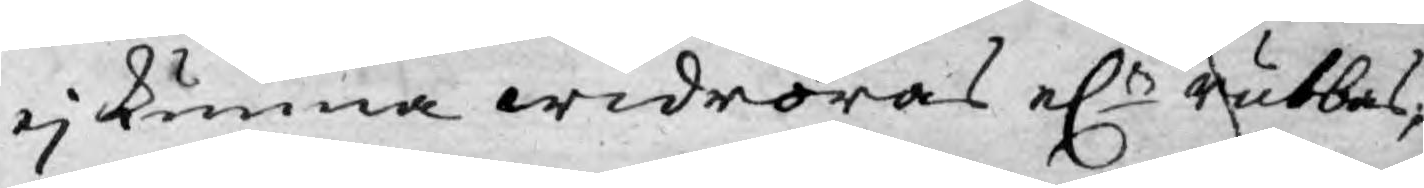ej kunna widröras el.r rubbas,
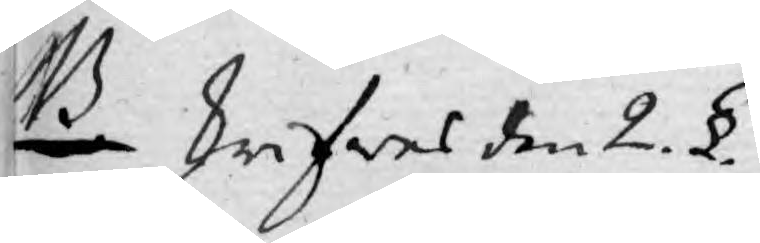NB skrifwes den 2. §.
